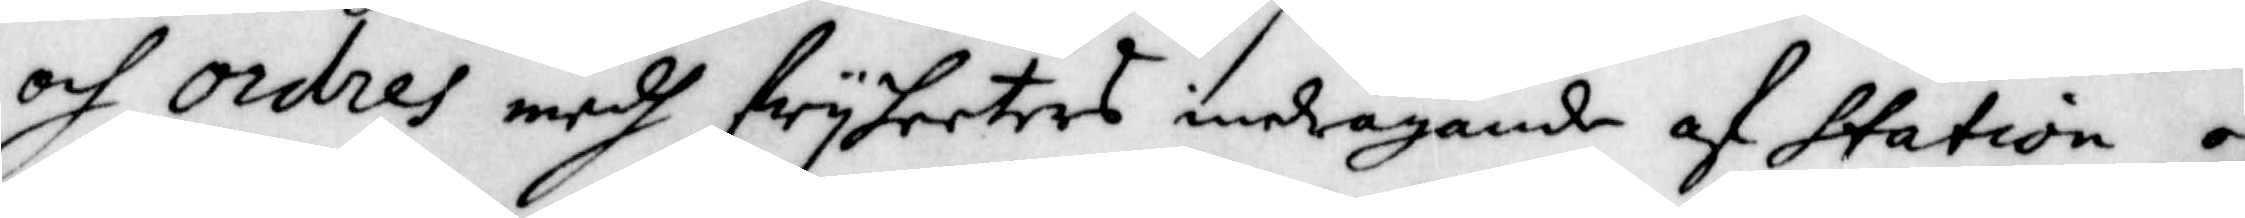och ordres medh fryheeters indragnade af station och
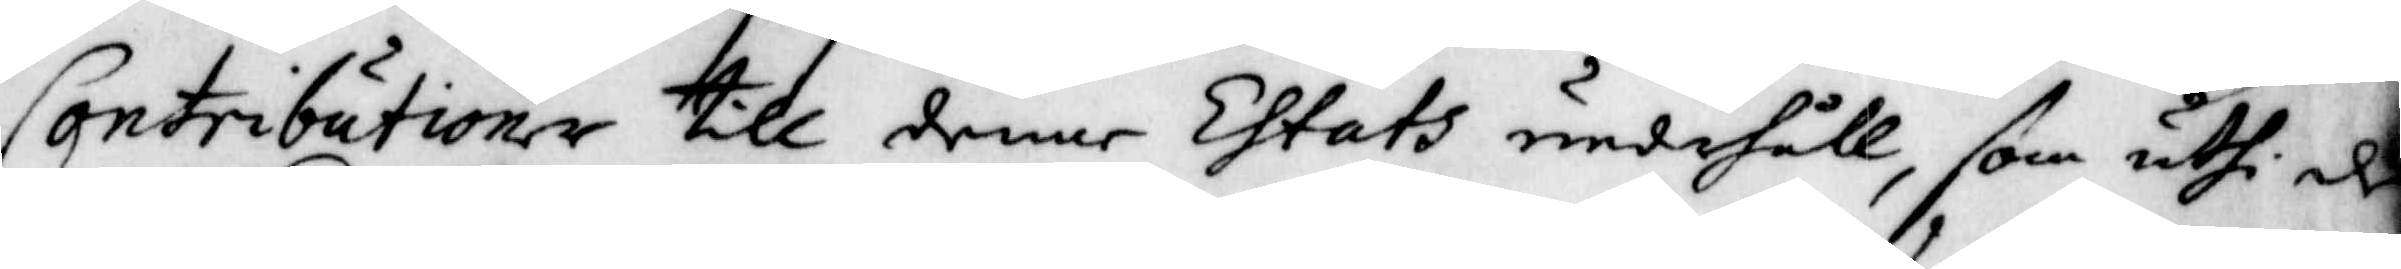Contributioner till denne Ehtats underhåll, som uthi de
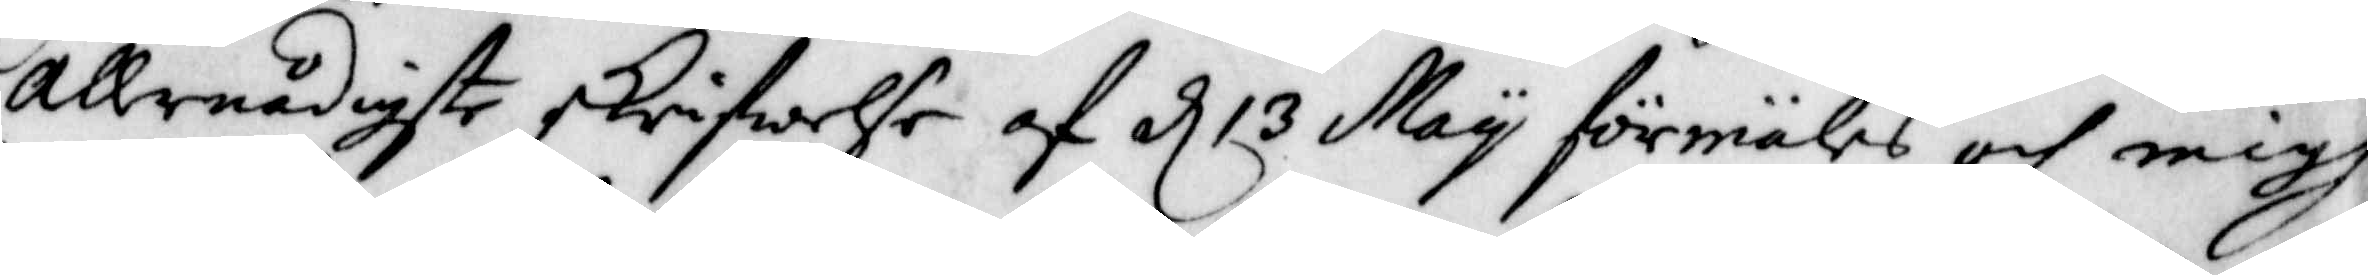allernådigste skriwelse af d 13 May förmäles, och migh
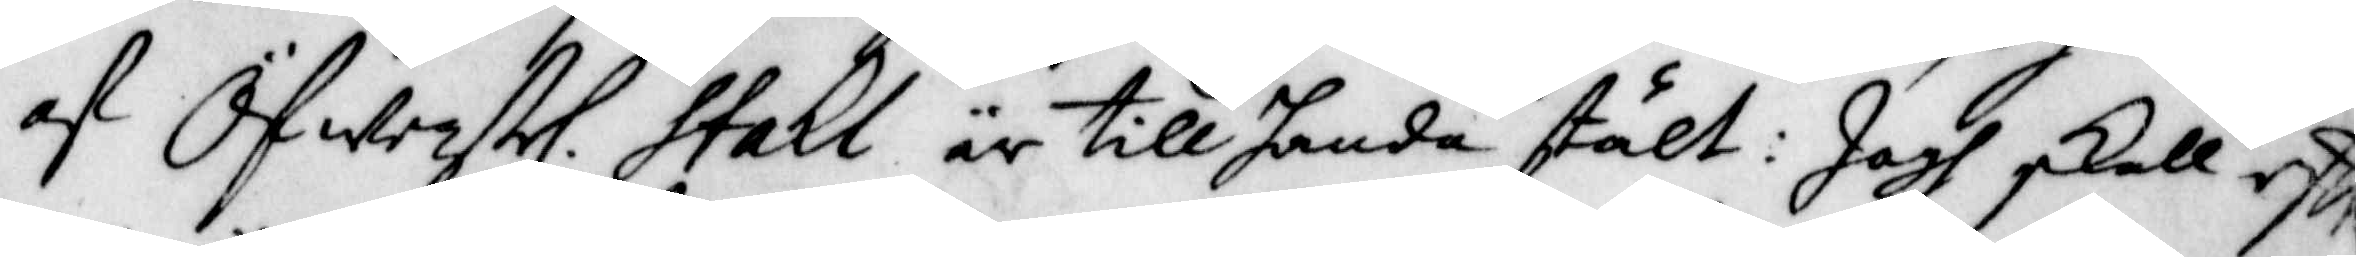af Öfwerstl. Stakl är tillhanda stält: Jagh skall eft
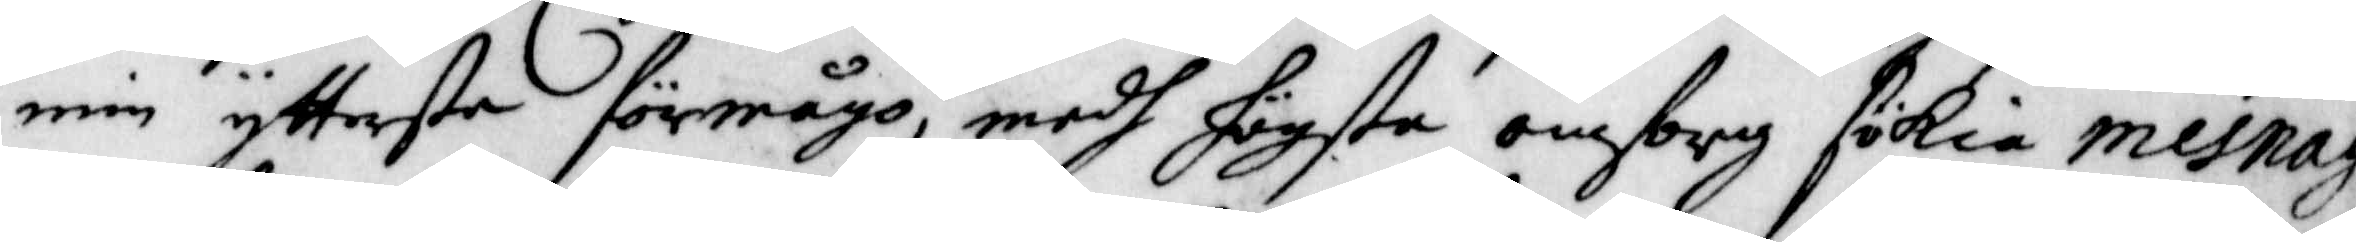min yttersta förmågo, medh högsta omsorg sökia mesnag
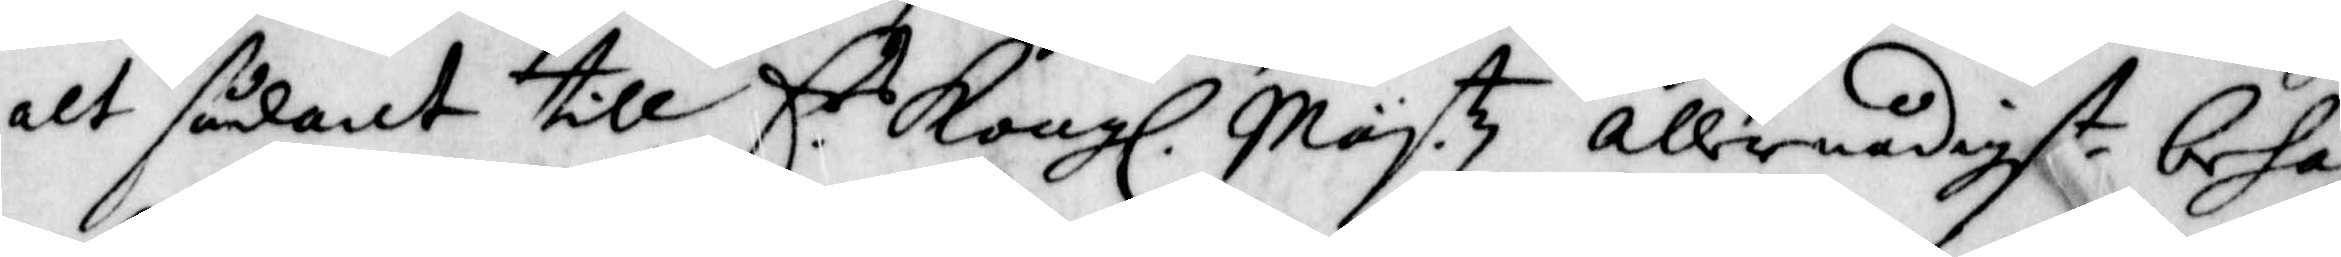alt sådant till E.rs Kongl. Maytz allernådigst behag
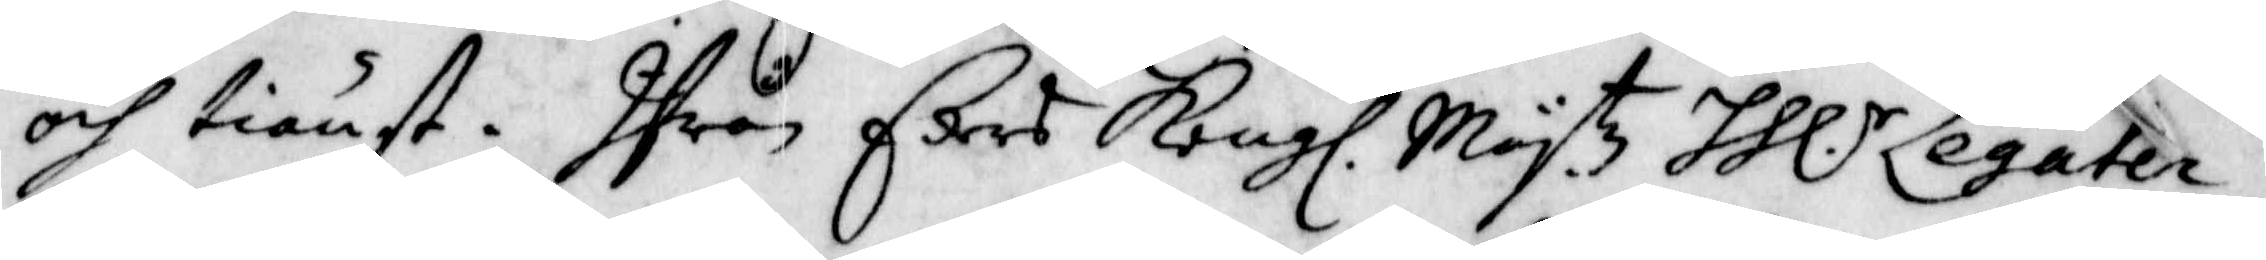och tiänst. Ifrån Eders Kongl. Maytz. HH.r Legaten
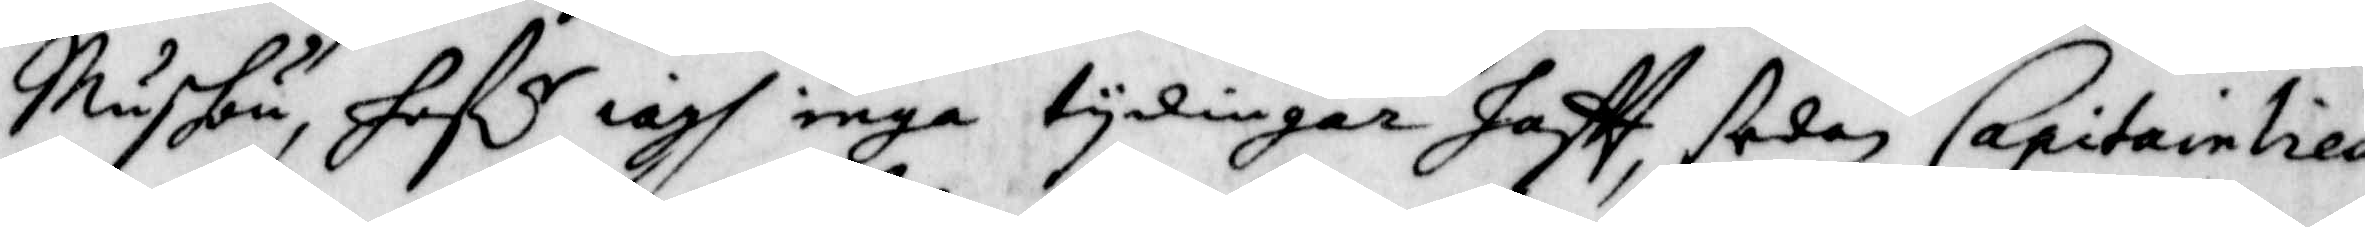Mushou, haf.r iagh inga tydingar haftt, sedan Capitainlieu
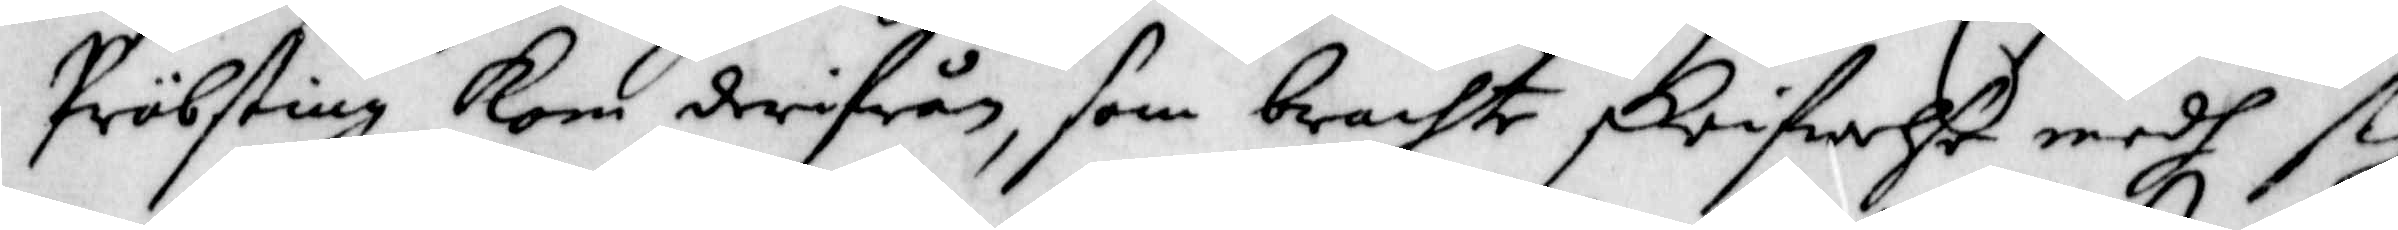Präbsting kom derifrån, som brachte skrifwelse medh sig
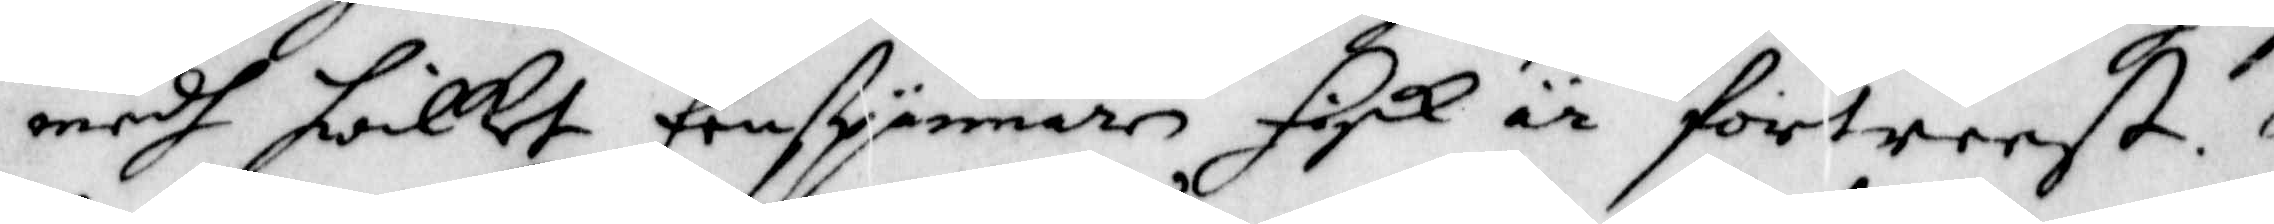medh hwilket Eenspännarn sigh är fortreest.
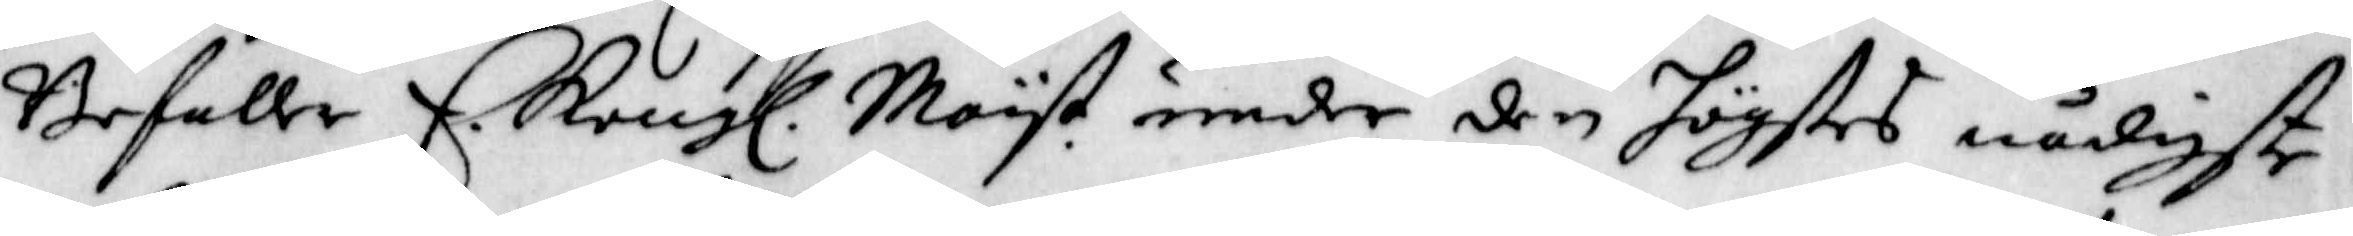Befaller E. Kongl. Mayt. under den högstes nådigste
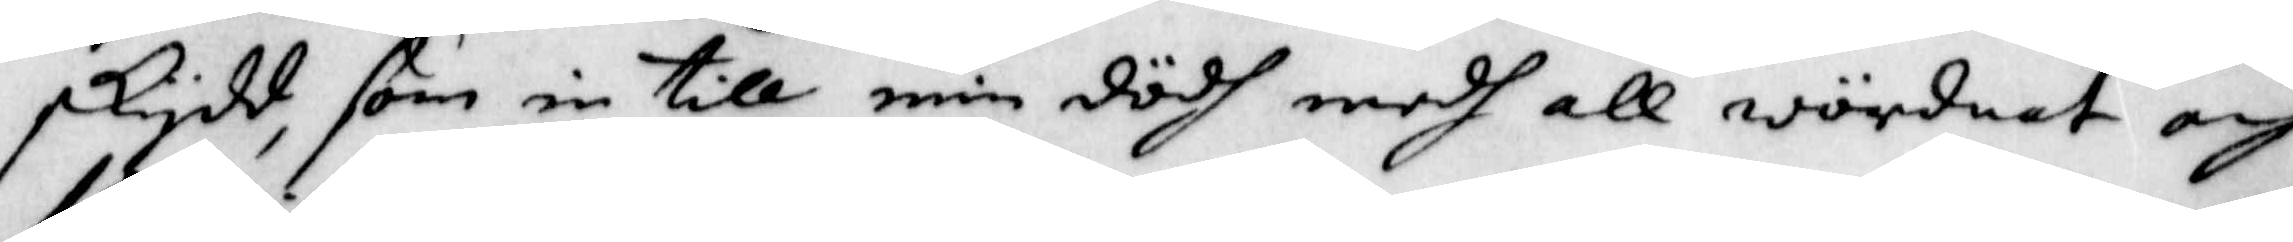skydd, som in till min dödh medh all wördnat och
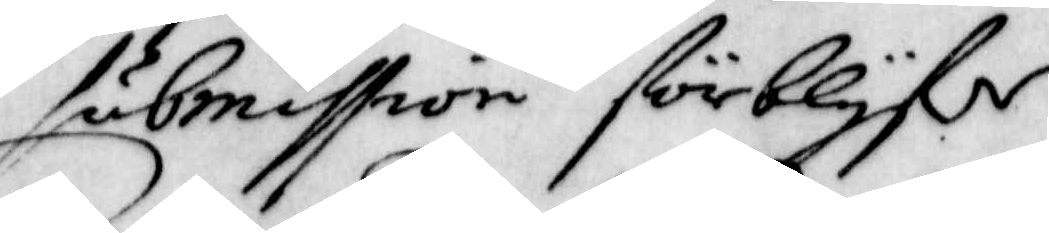submission förblyf.r
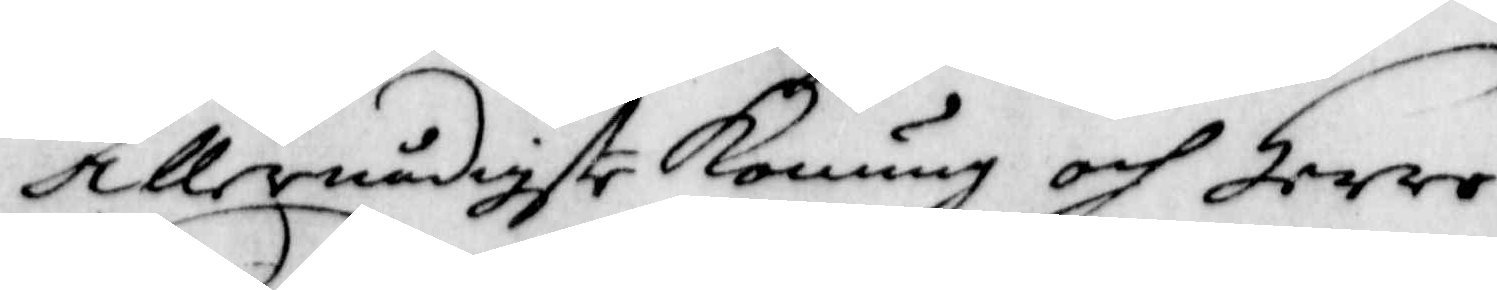Allernådigste Konung och Herre
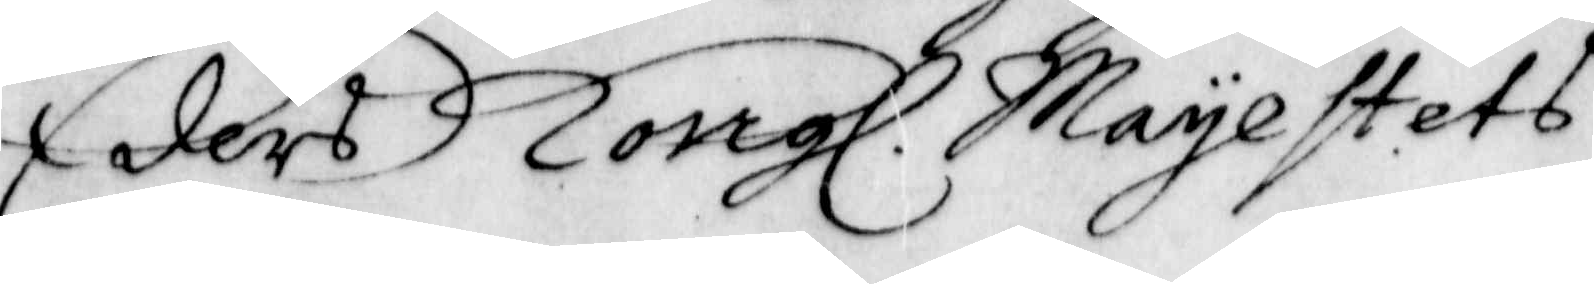Eders Kongl. Mayestets
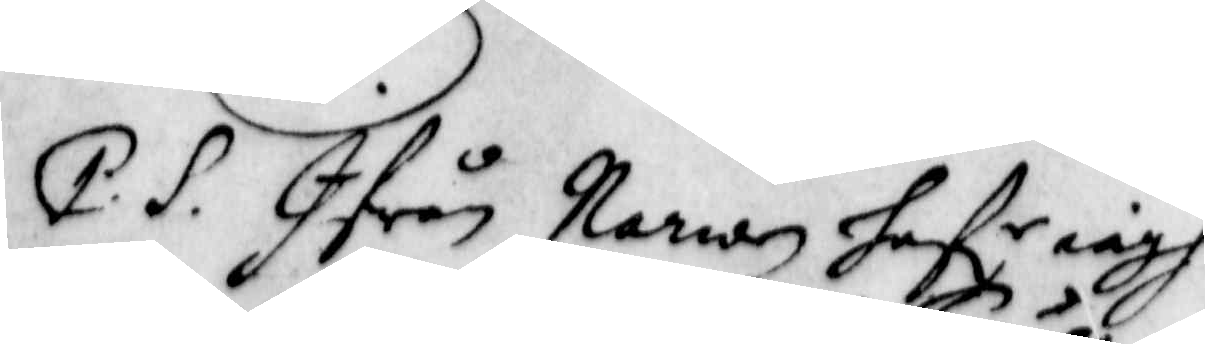P.S. Ifrån Narwen Haf.r iagh
